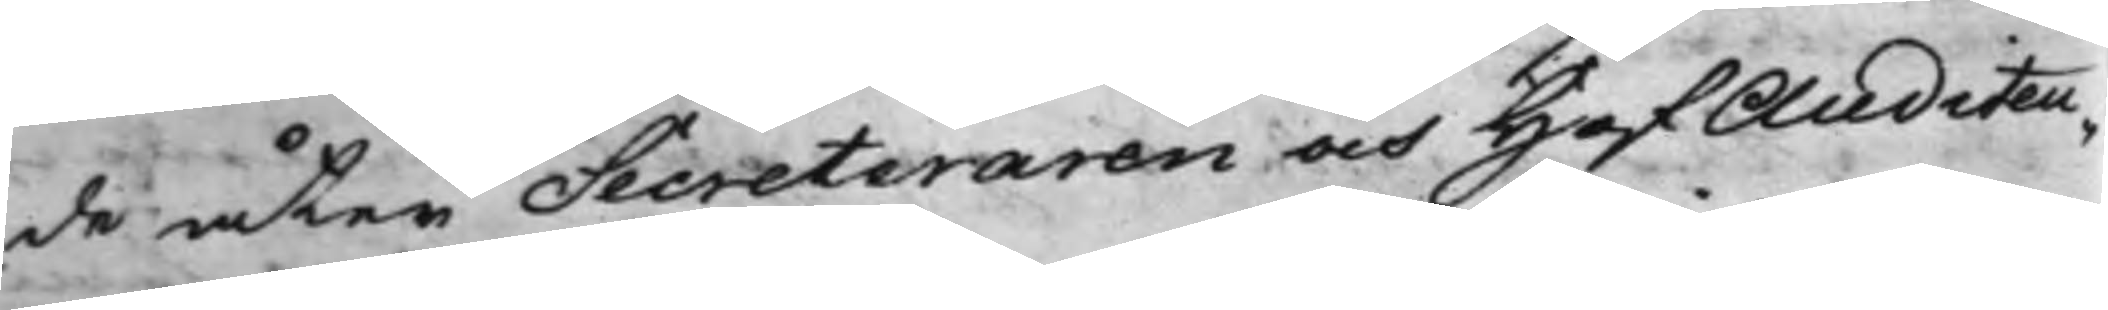de åter Secreteraren och HofAuditeu¬
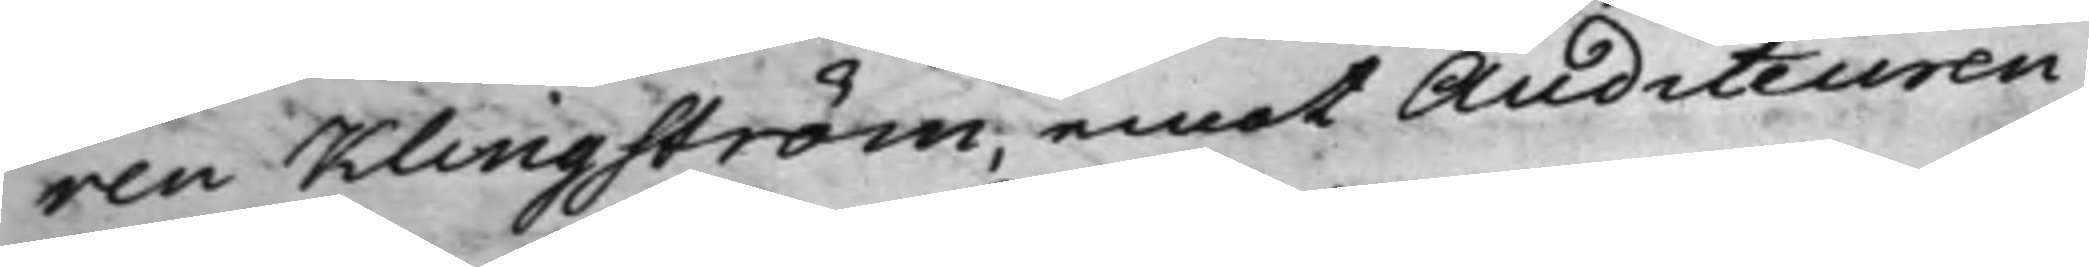ren Klingström, emot Auditeuren
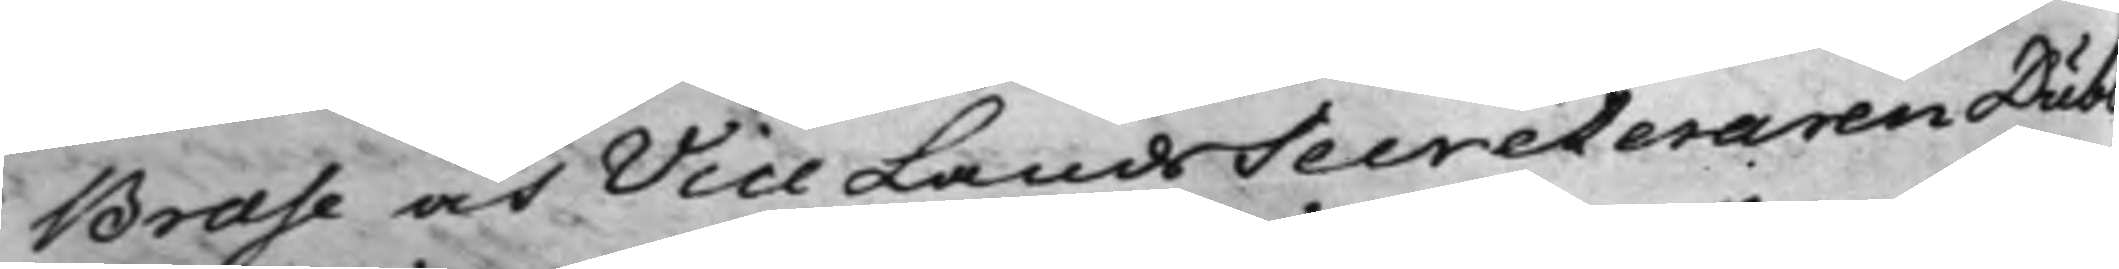Brase och Vice LandsSecreteraren Dubb,
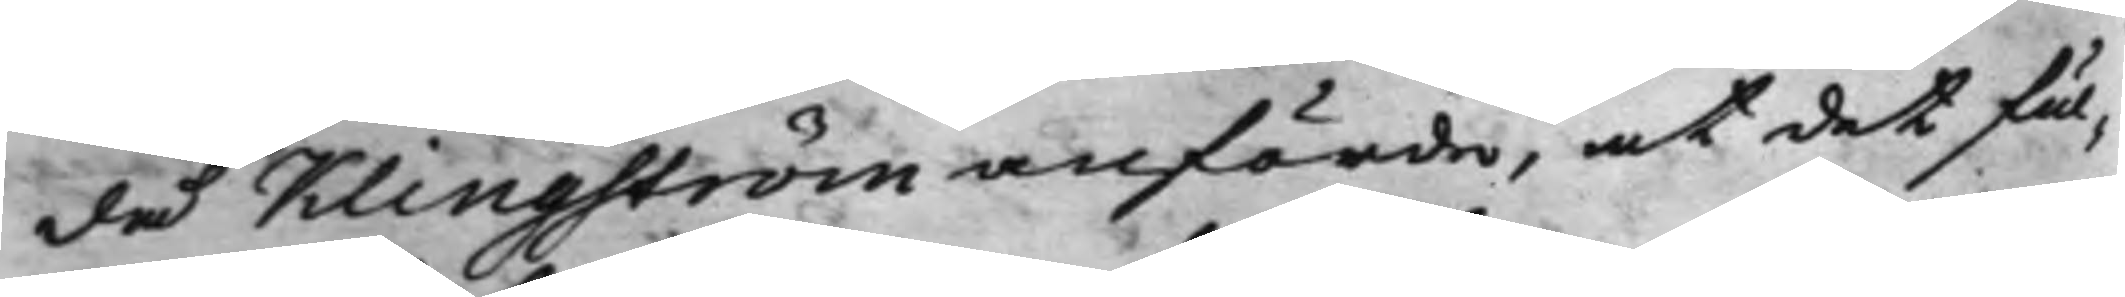då Klingström anförde, at det ful¬
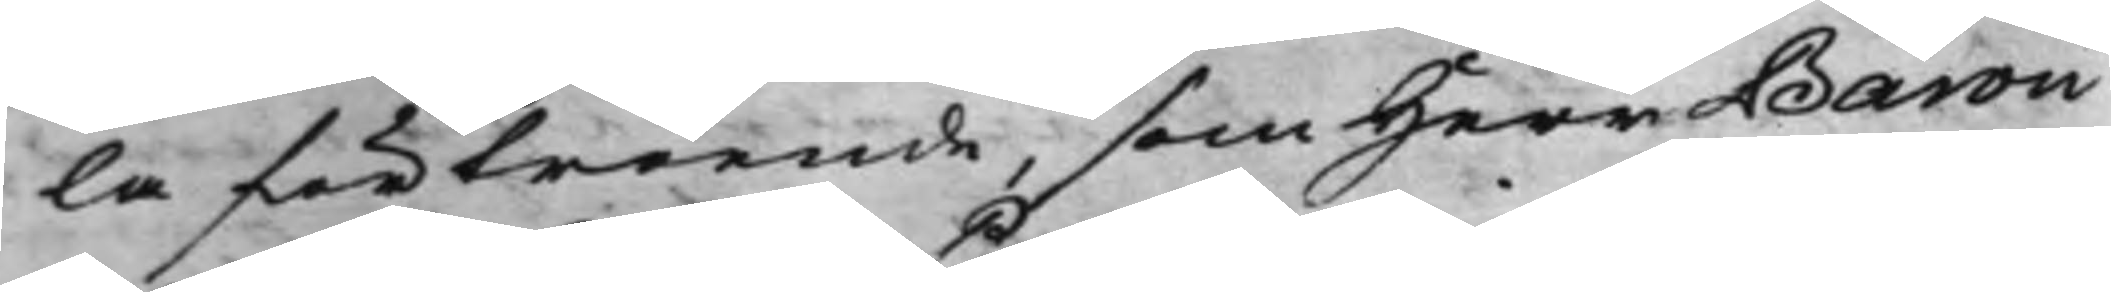la förtroende, som Herr Baron
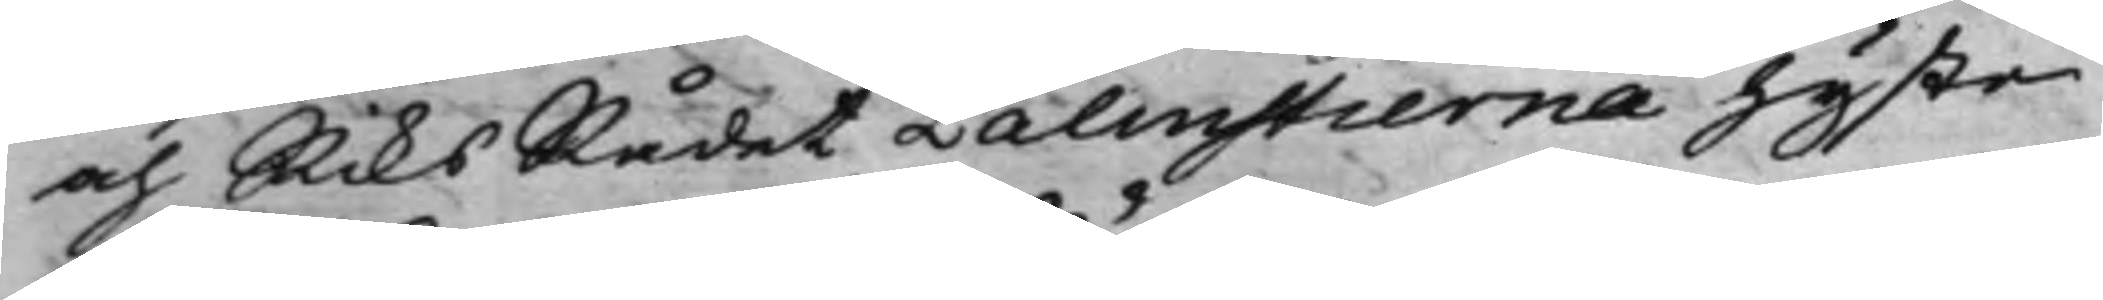och RiksRådet Palmstierna hyste
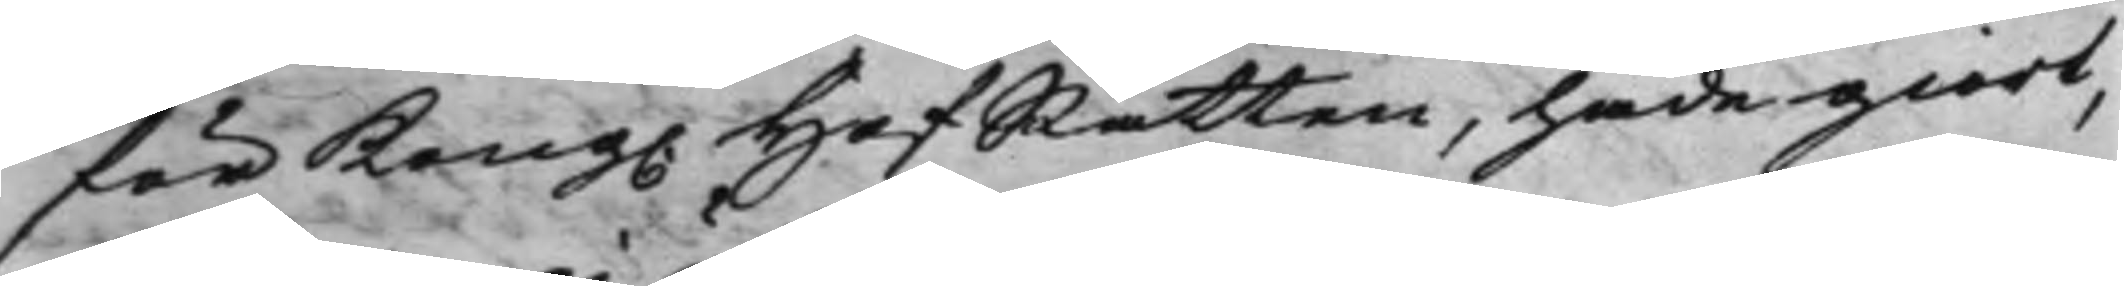för Kong. HofRätten, hade giort,
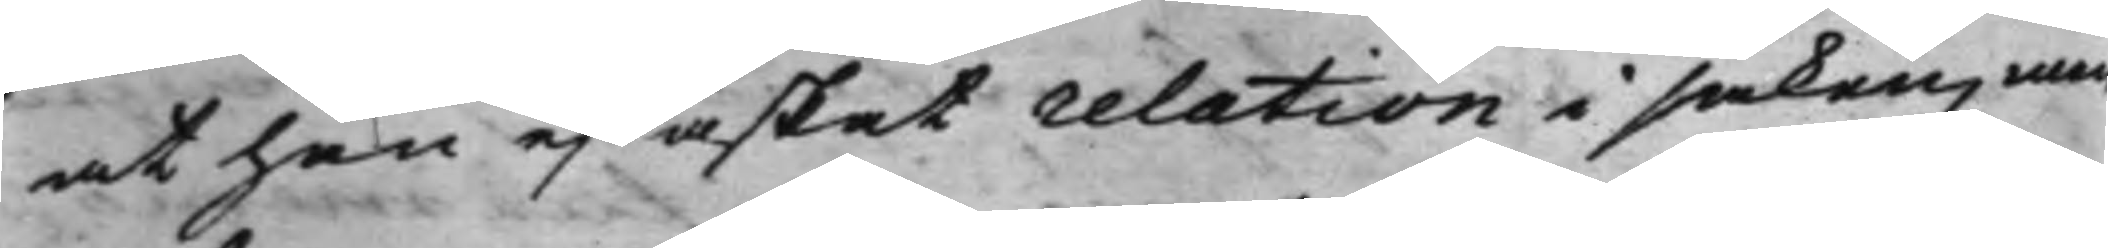at han ej äskat relation i saken, men
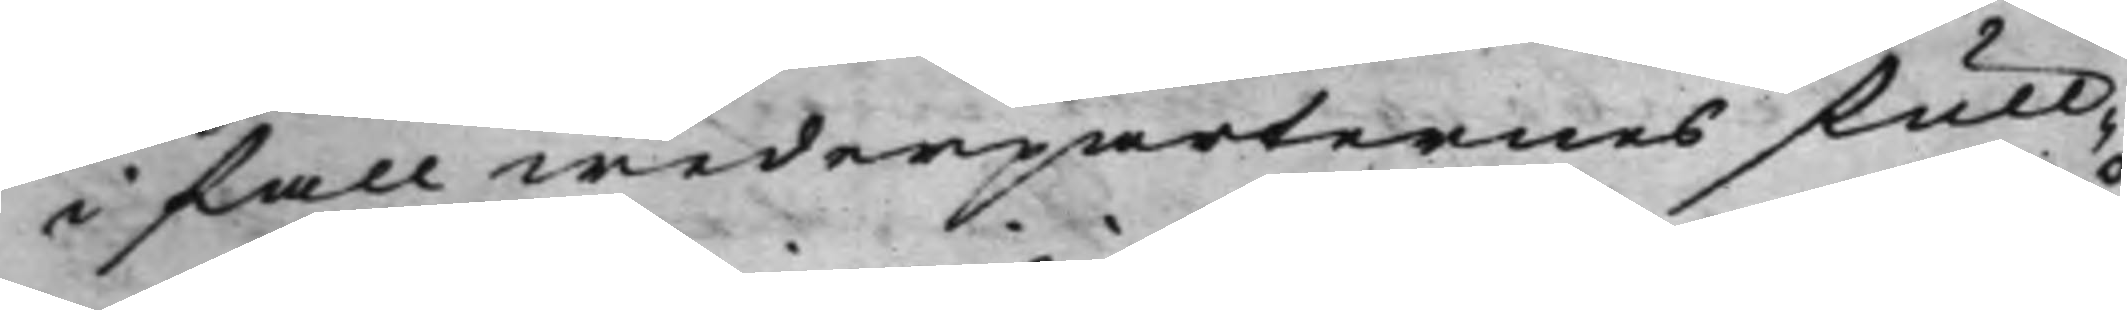i fall wederparternes full¬
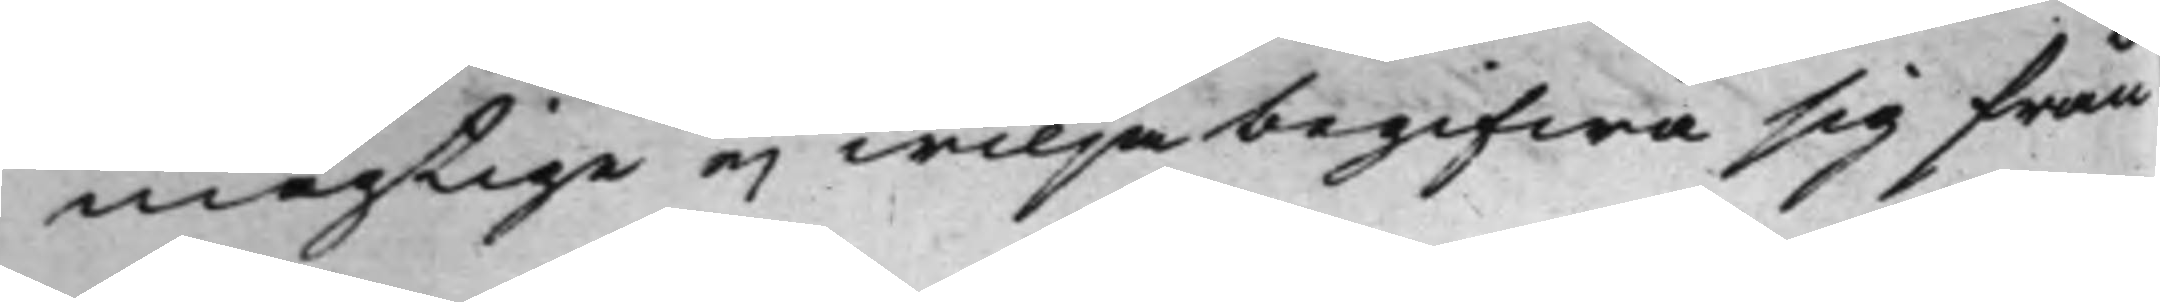mägtige ej wilja begifwa sig från
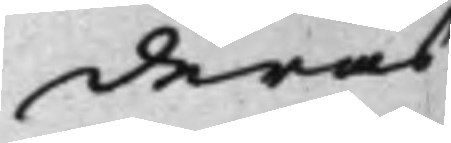deras
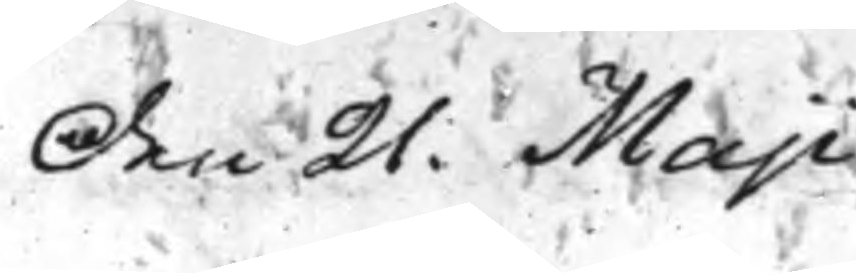Den 21. Maji
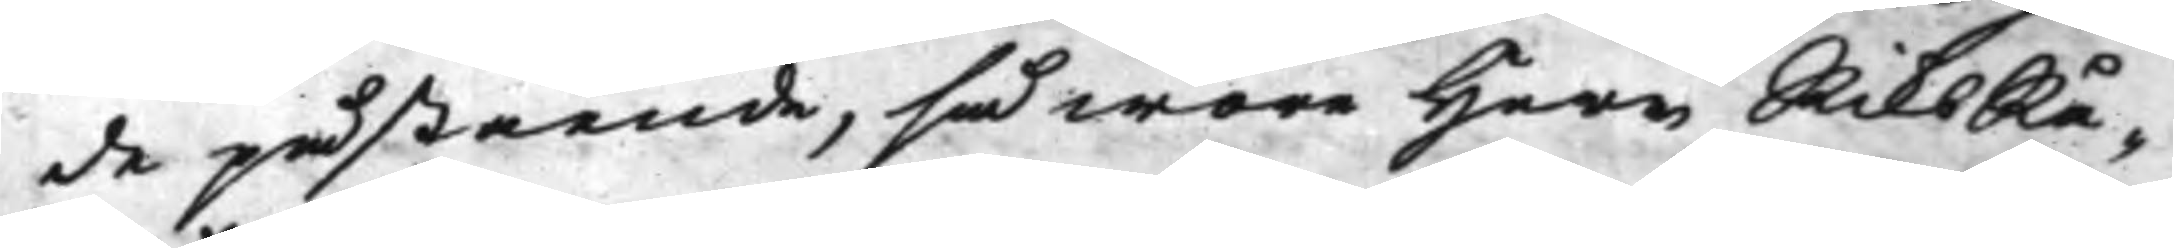de påstående, så wore Herr RiksRå¬
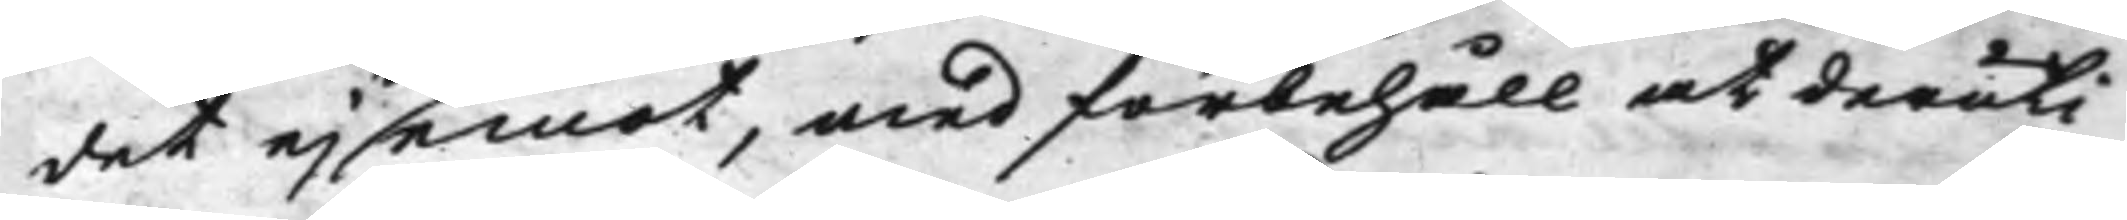det ej emot, med förbehåll at deruti
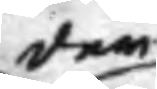der
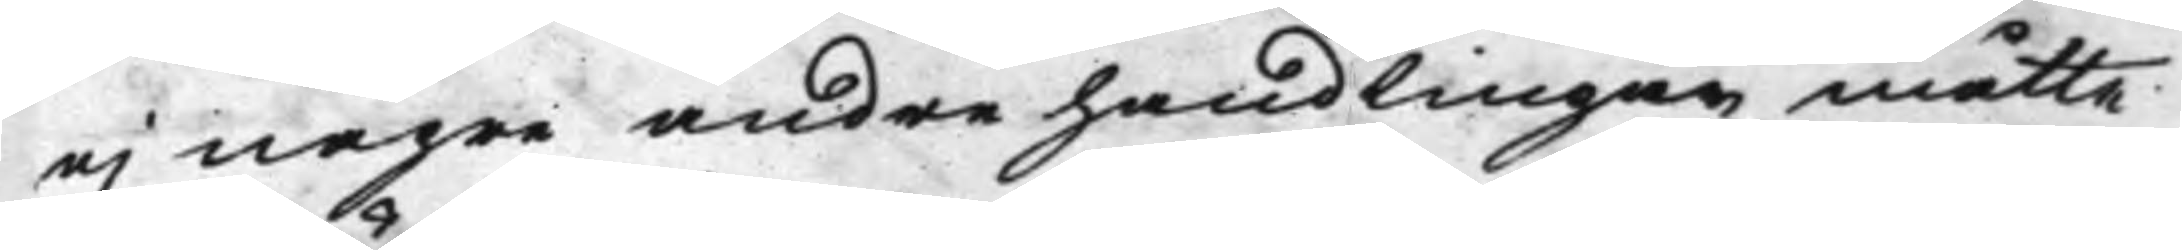ej någre andre handlingar måtte
